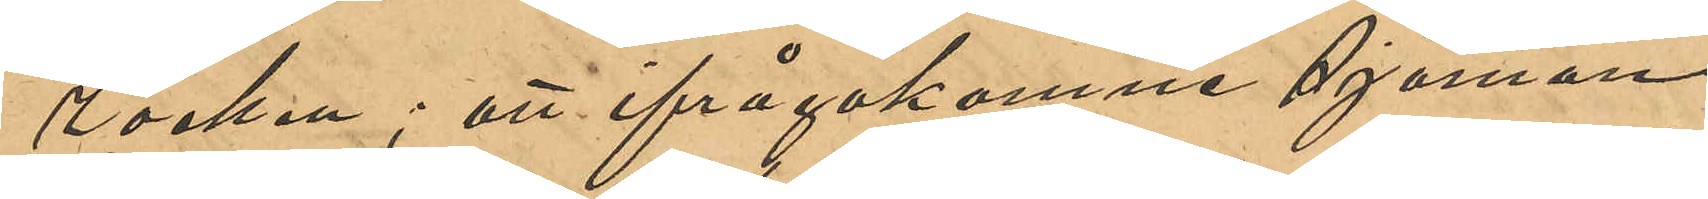rocken; att ifrågakomne sjöman
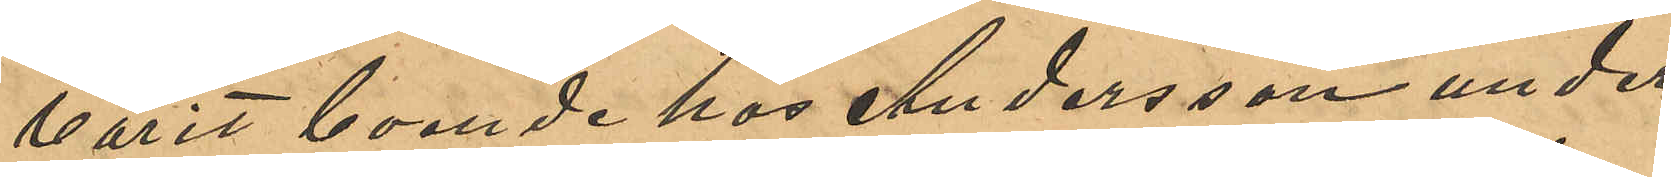varit boende hos Andersson under
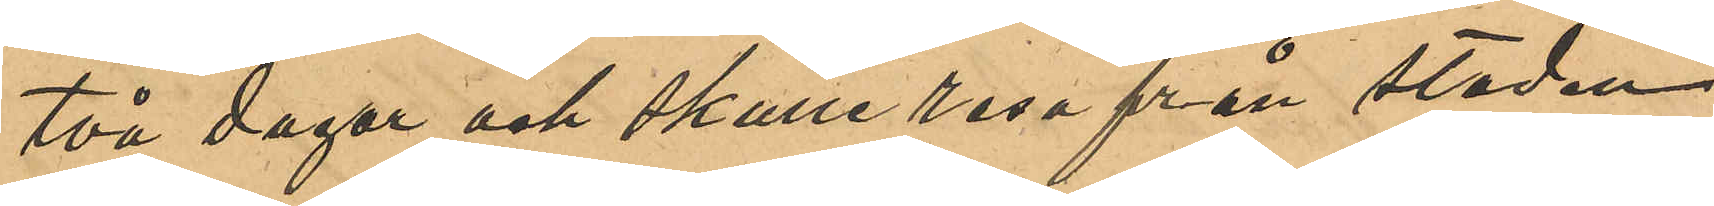två dagar och skulle resa från staden
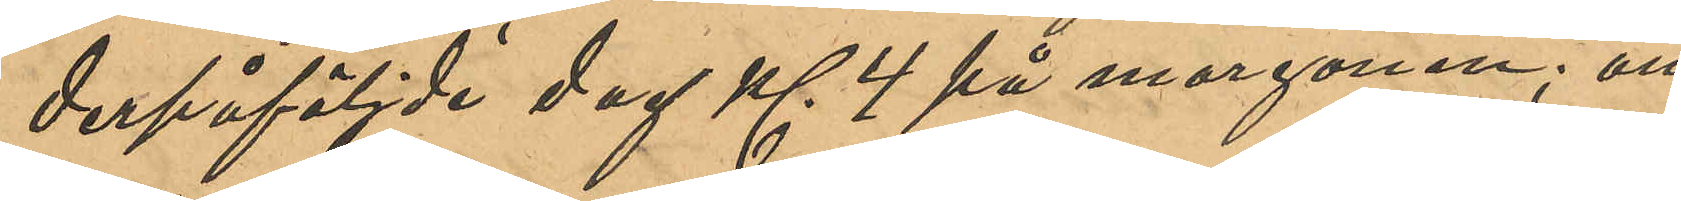derpåföljde dag Kl 4 på morgonen; att
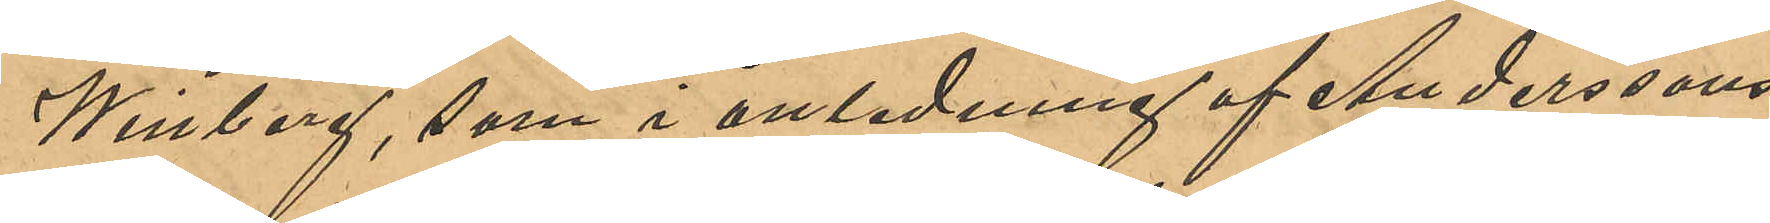Winberg, som i anledning af Anderssons
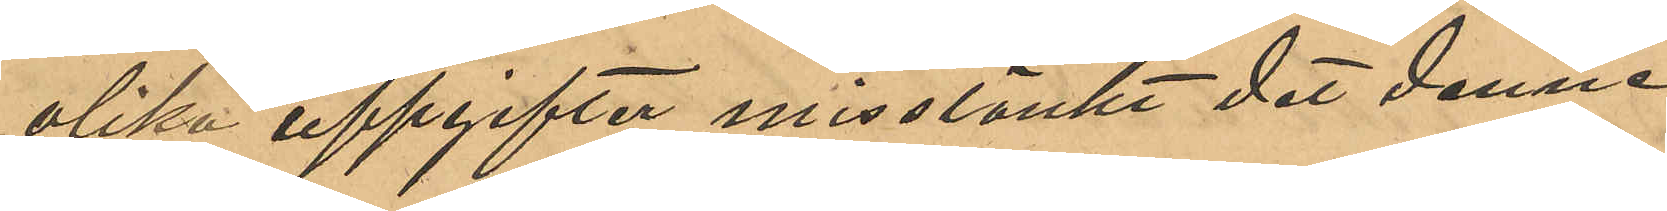olika uppgifter misstänkt det denne 
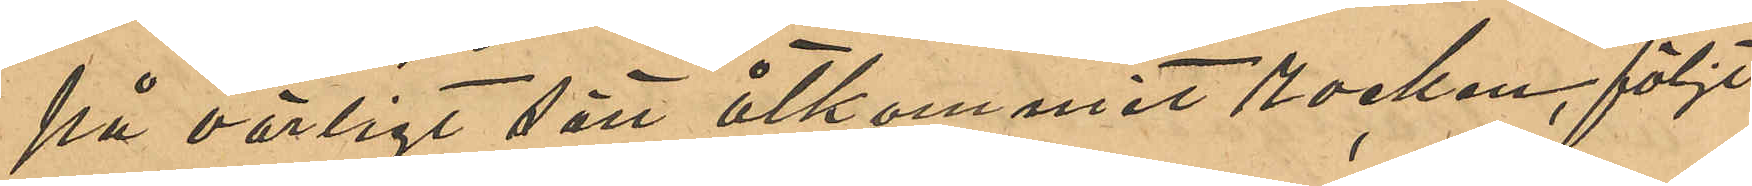på oärligt sätt åtkommit rocken, följt
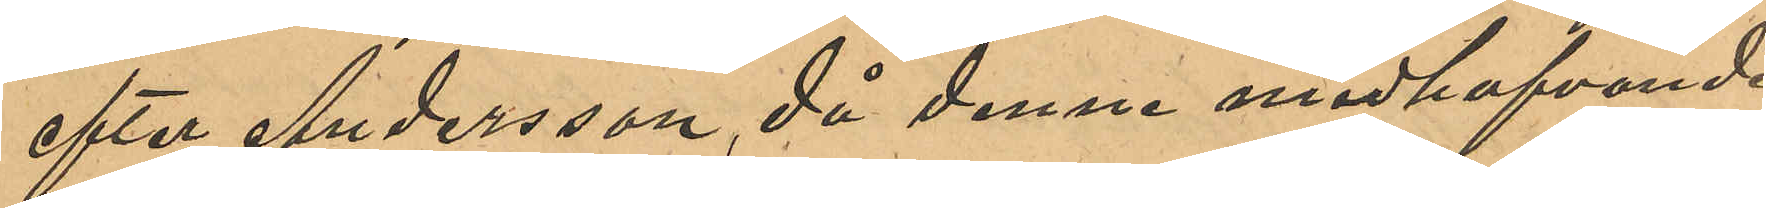efter Andersson, då denne medhafvande
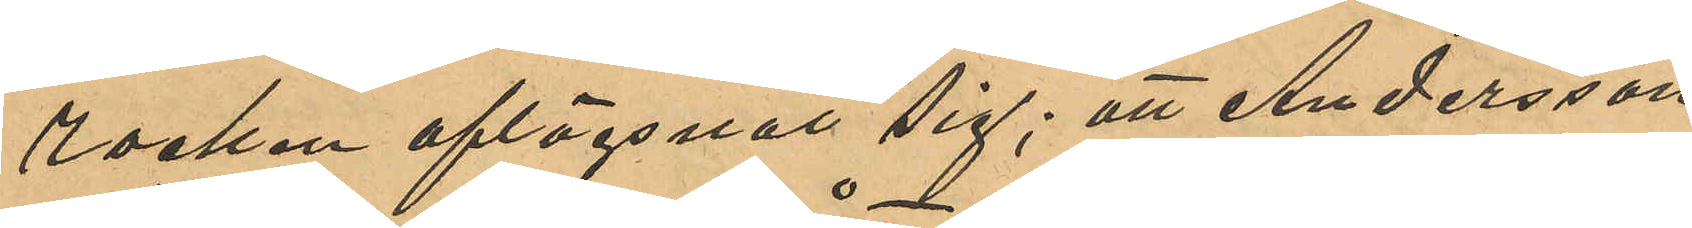rocken aflägsnat sig; att Andersson
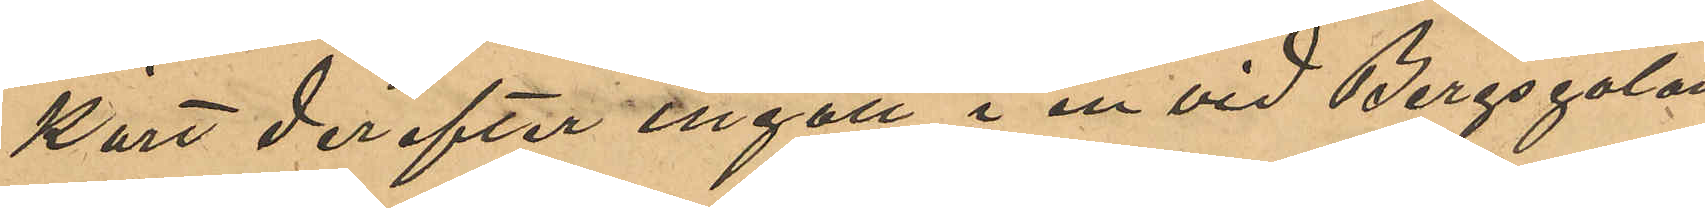kort derefter ingått i en vid Bergsgatan
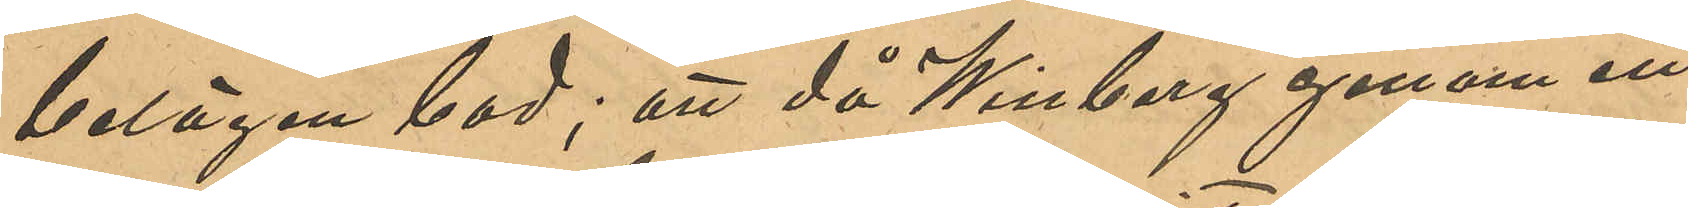belägen bod; att då Winberg genom ett
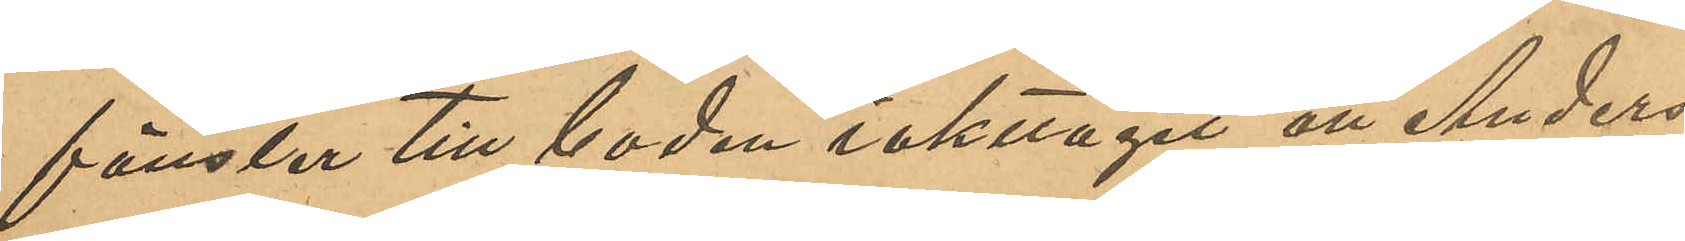fönster till boden iakttagit att Anders¬
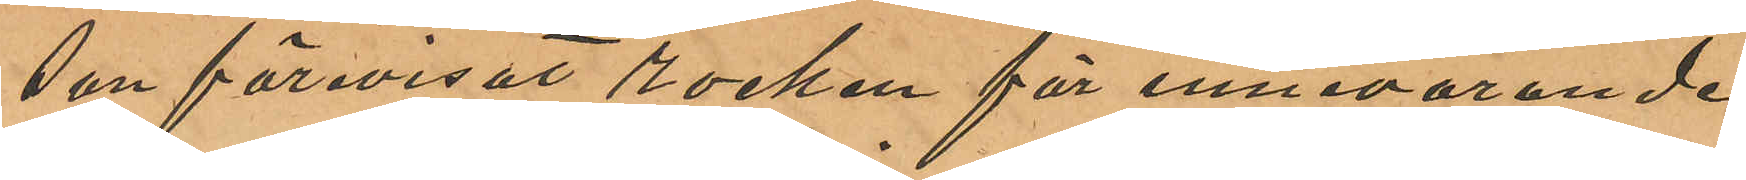son förevisat rocken för innevarande
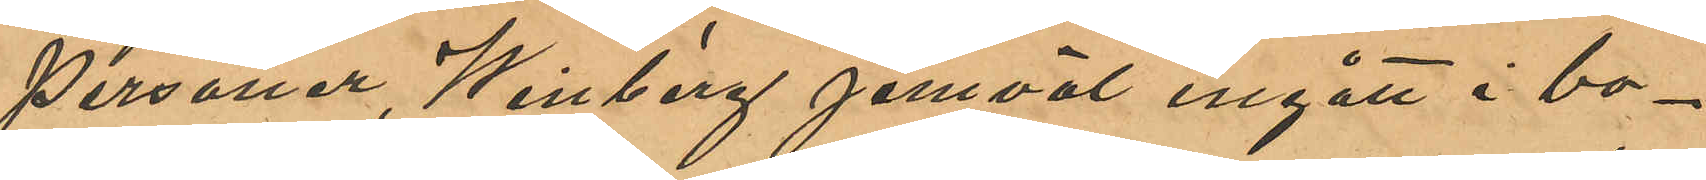personer, Winberg jemväl ingått i bo¬
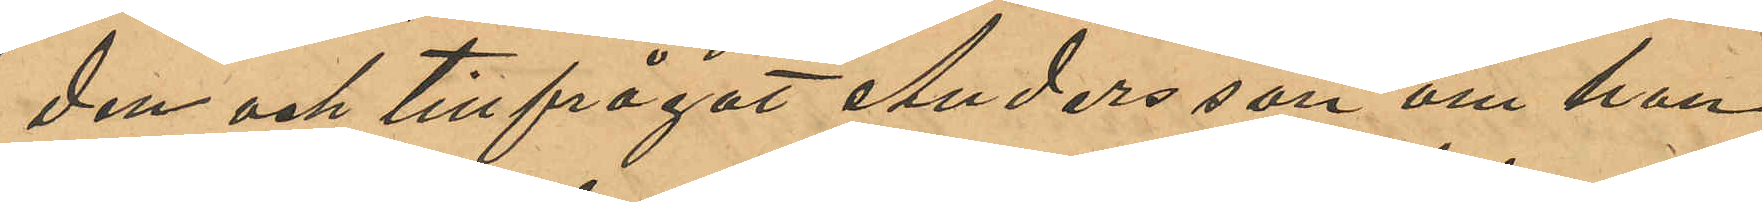den och tillfrågat Andersson om han
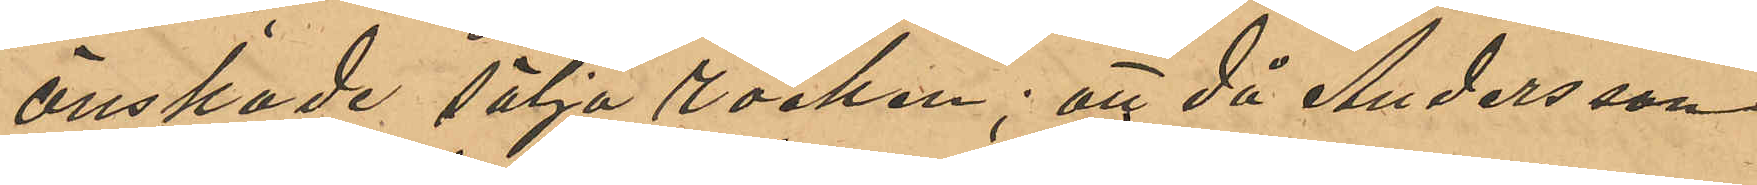önskade sälja rocken; att då Andersson
